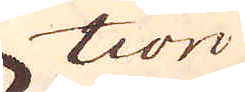tion
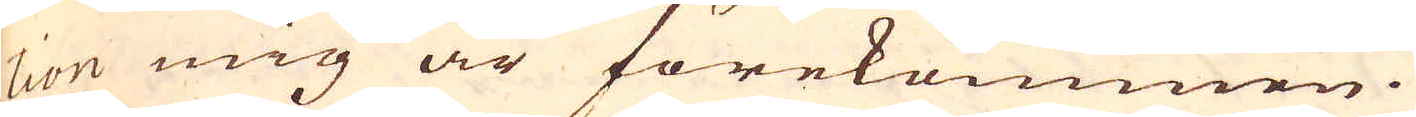tion mig är förekommen.
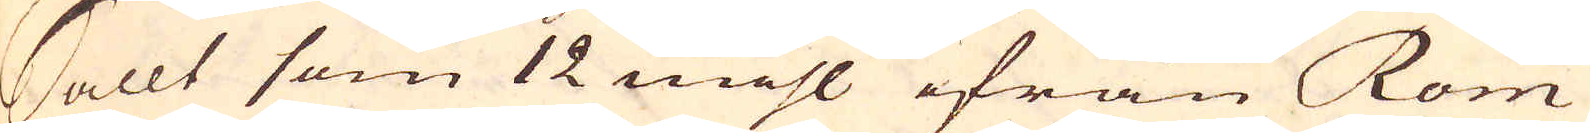Sallt som 12 mihl ifrån Rom
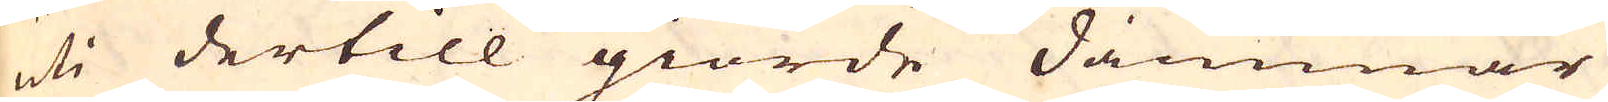uti dertill giorde dammar
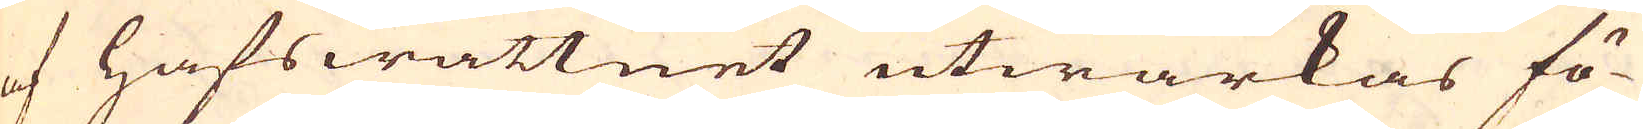af hafswattnet utwärkas fö-
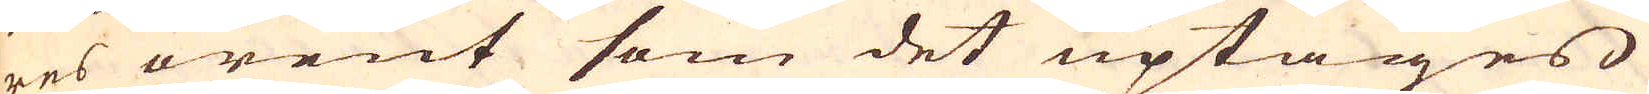res orent som det uptages
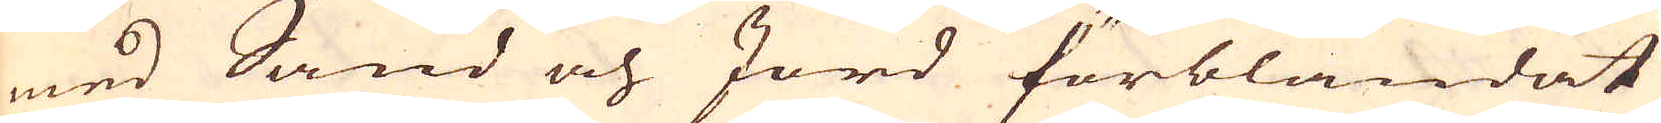med Sand och Jord förblandat
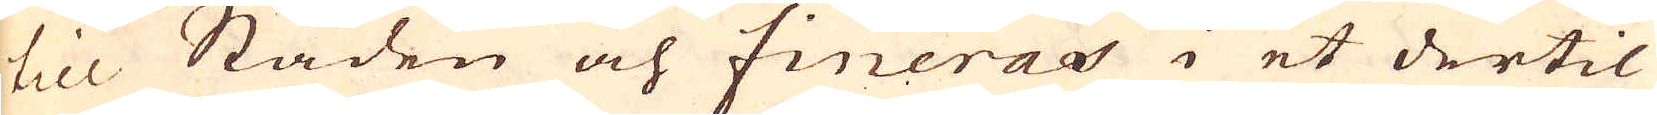till Staden och fineras i et dertil
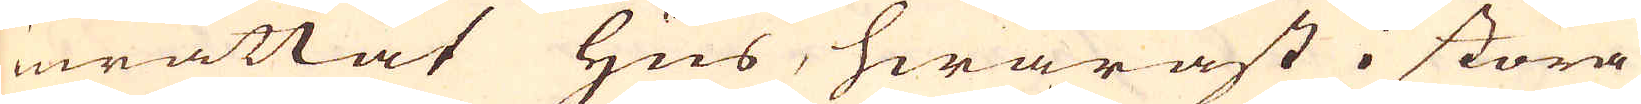inrättat Hus, hwaräst i stora
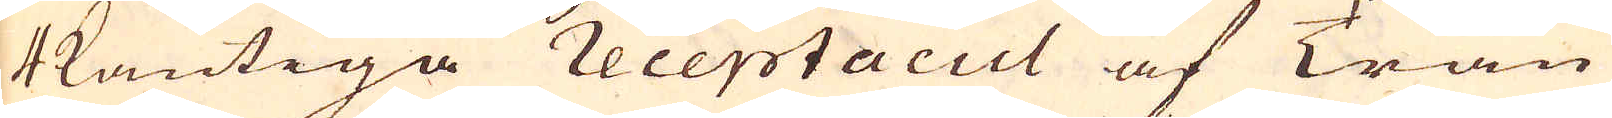4kantiga receptacul af Trän
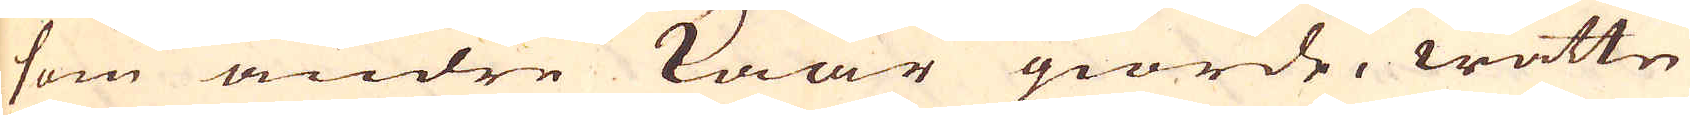som andre kaar giorde, wattn
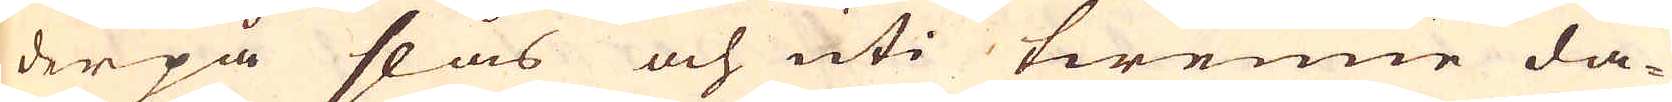derpå slås och uti twenne da-
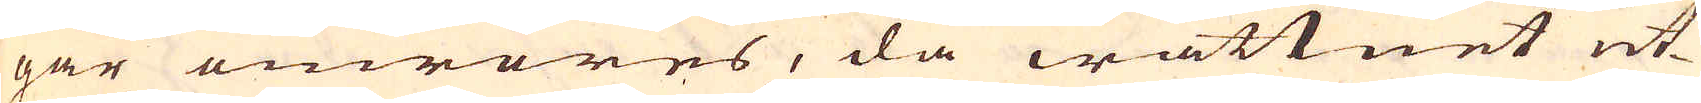gar omröres, då wattnet ut-
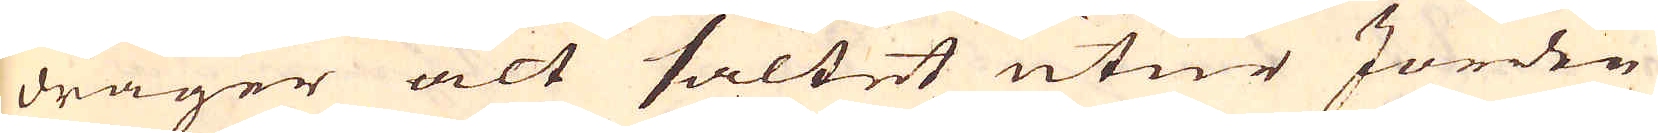drager alt saltet utur Jorden
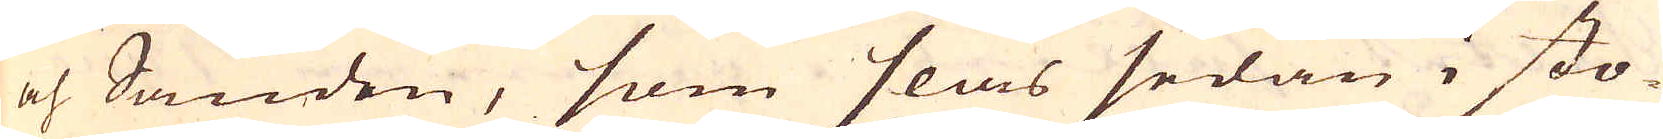och Sanden, som slås sedan i sto-
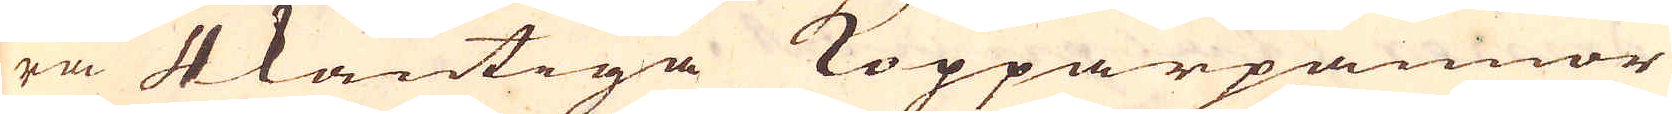ra 4kantiga Kopparpannor
